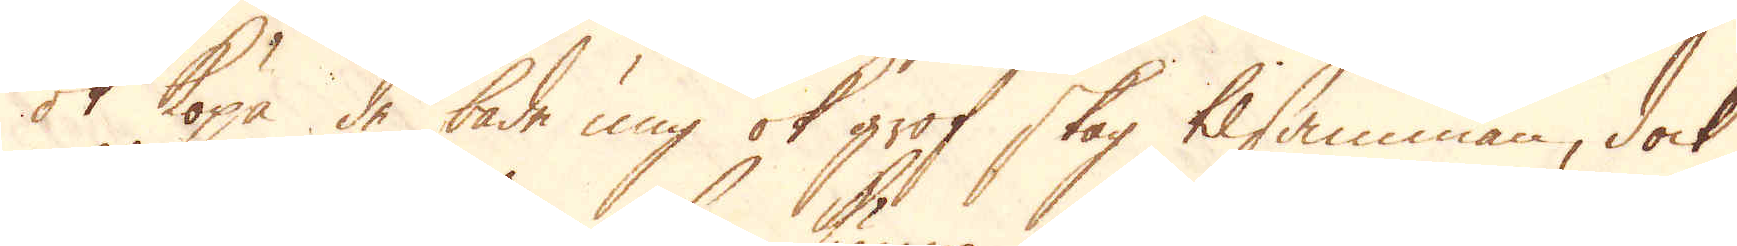ok köpa de både ung ok grof skog tilsamman, dock
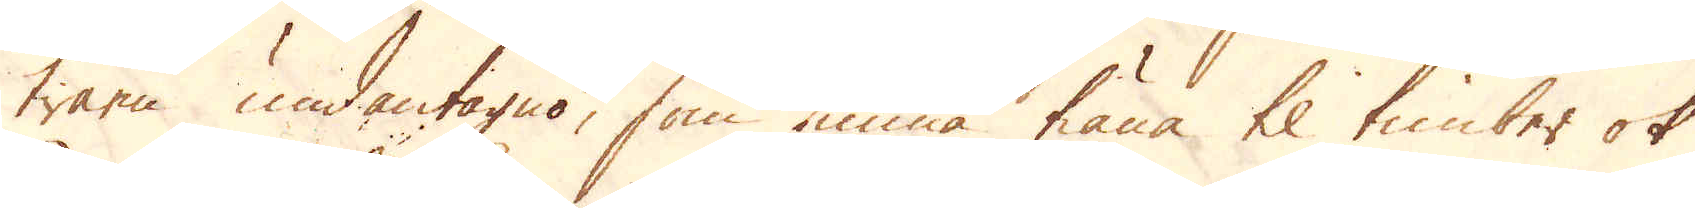träen undantagno, som kunna tiäna til timber ok
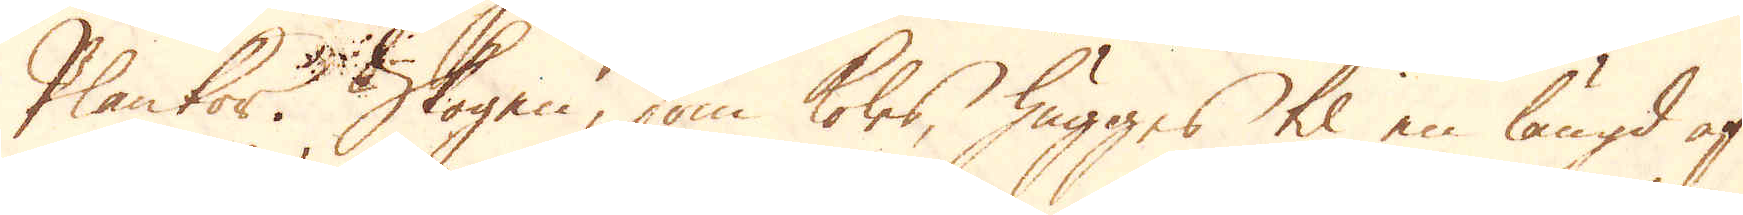Plankor. Skogen, som koles, hugges til en längd af
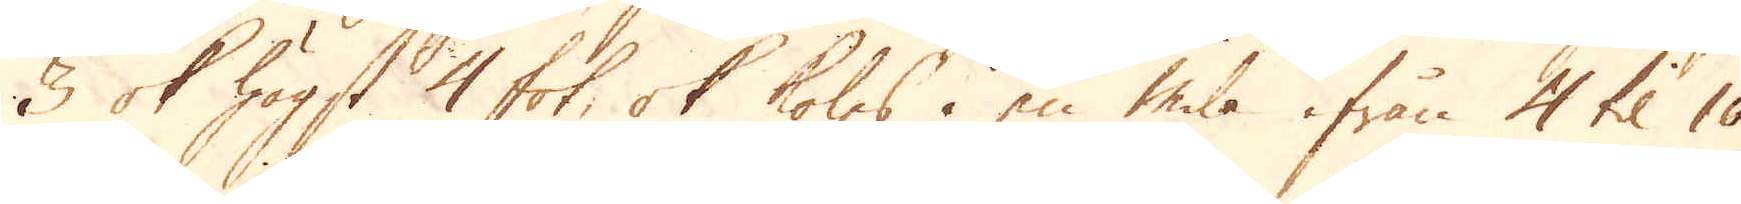3 ok högst 4 fot, ok koles i en mila ifrån 4 til 10
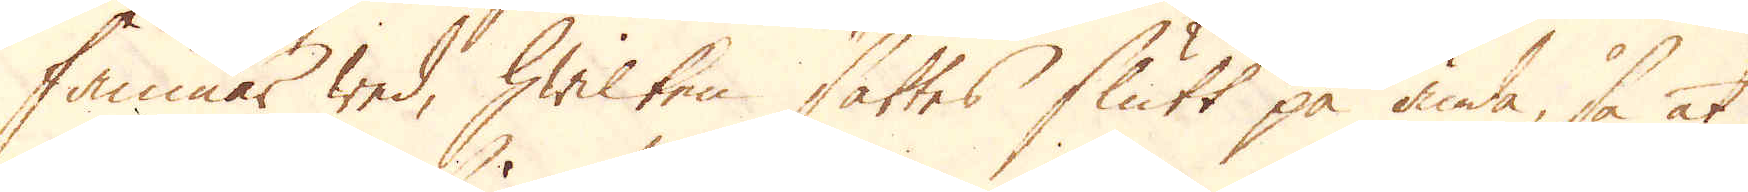famnar wed, hwilken sättes slutt på ända, så at
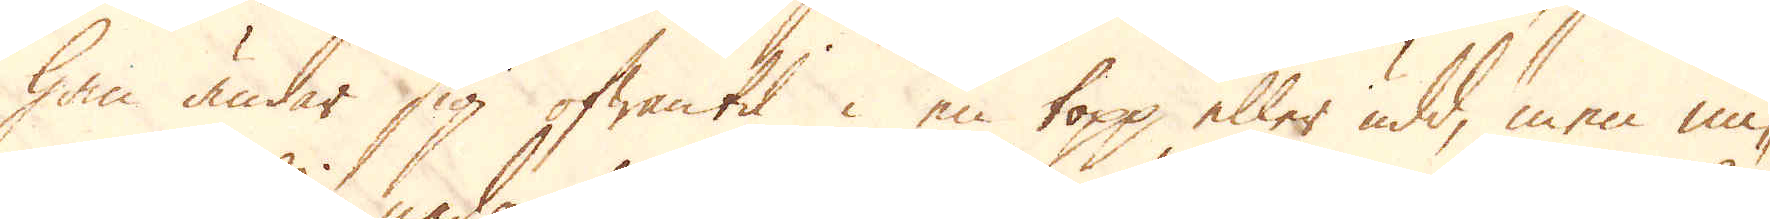han ändar sig ofwantil i en topp eller udd, men mi-
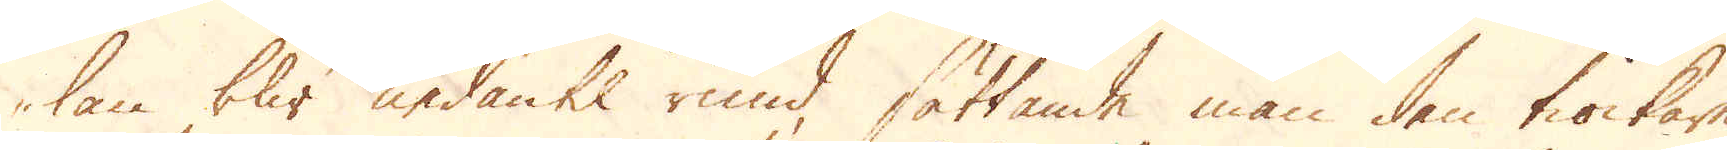lan blir nedantil rund, sättande man den tiockare
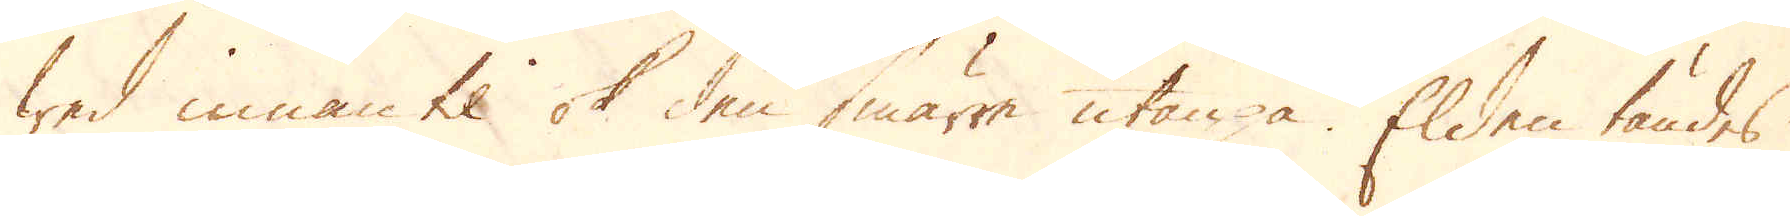wed innantil ok den smärre utanpå. Elden tändes
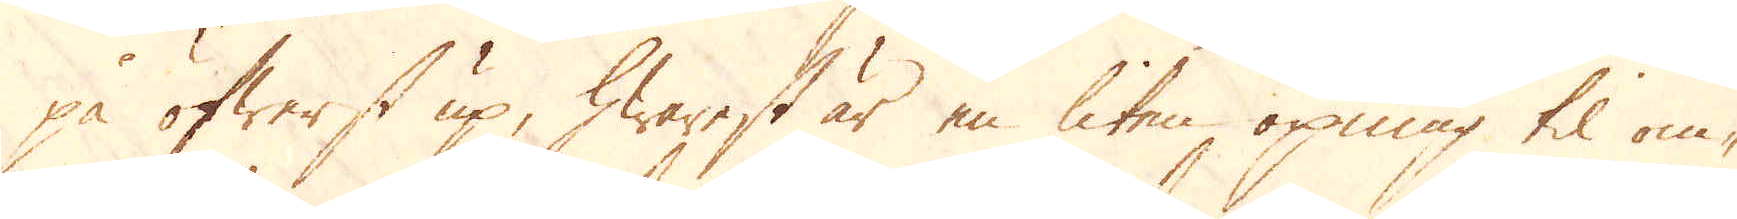på öfwerst up, hwarest är en liten öpnning til om-
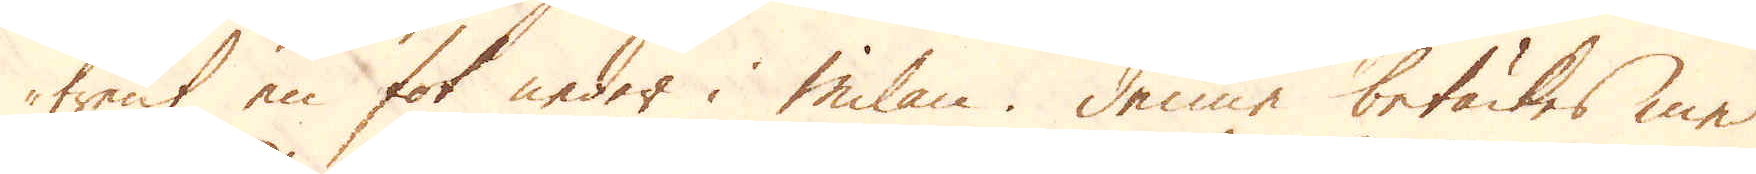trent en fot neder i Milan. Denne betäckes med
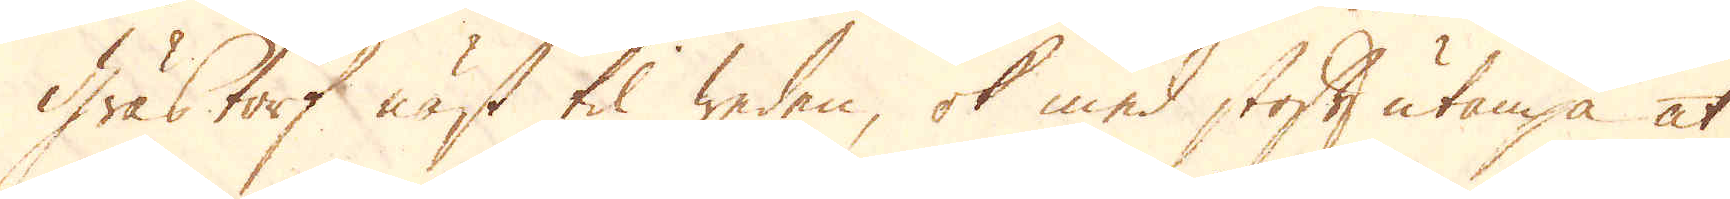Grästorf näst til weden, ok med stoft utanpå at
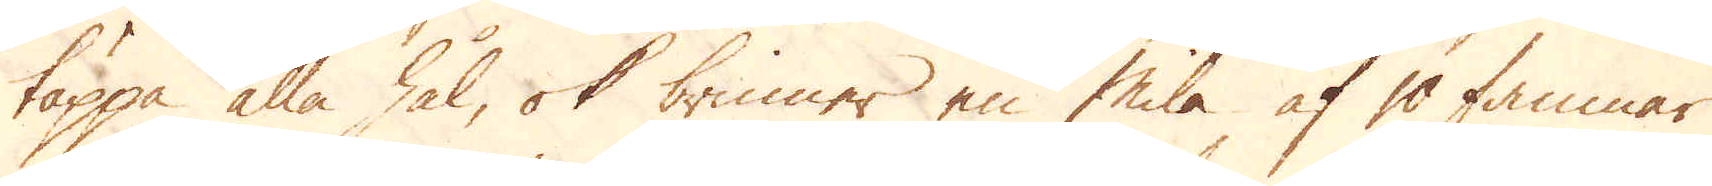täppa alla hål, ok brinner en Mila af 10 famnar
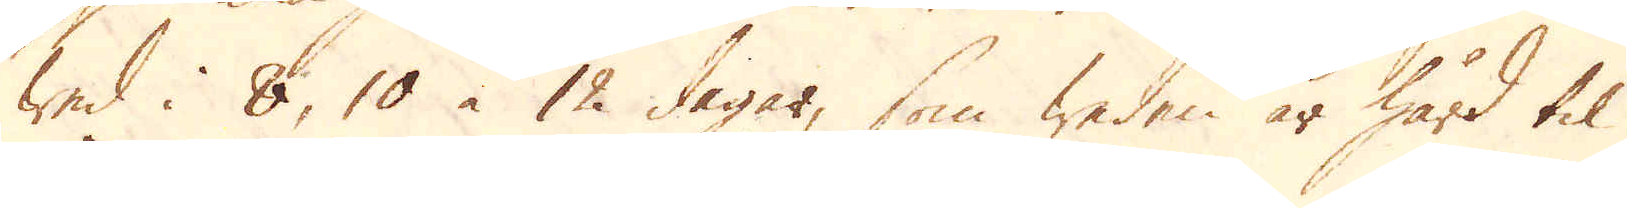wed i 8, 10 à 12 dagar, som weden är hård til.
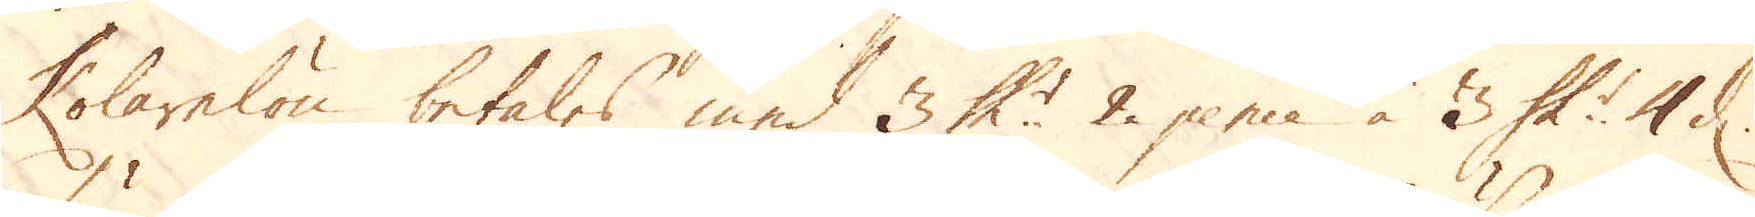Kolarelön betales med 3 Sk:r 2 pence à 3 Sk:r 4 d.
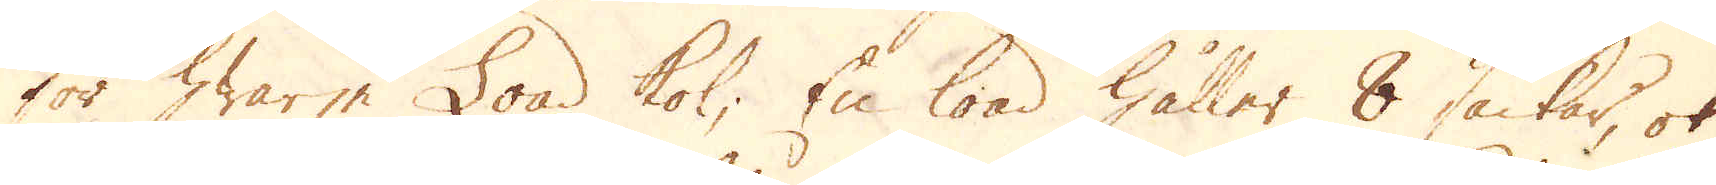för hwarje Load kol; En load håller 8 säckar, ok 
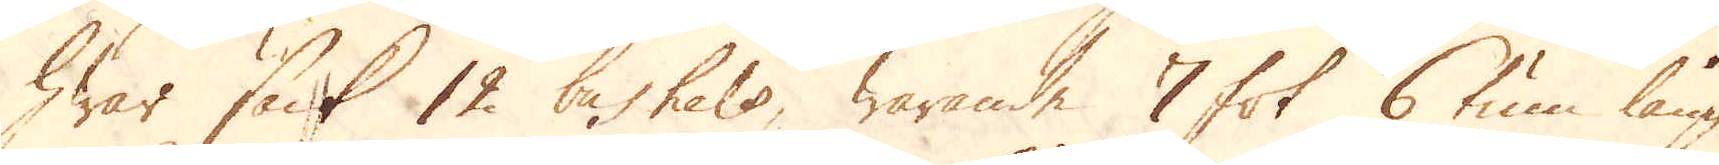hwar säck 12 bushels, warande 7 fot 6 tum lång
